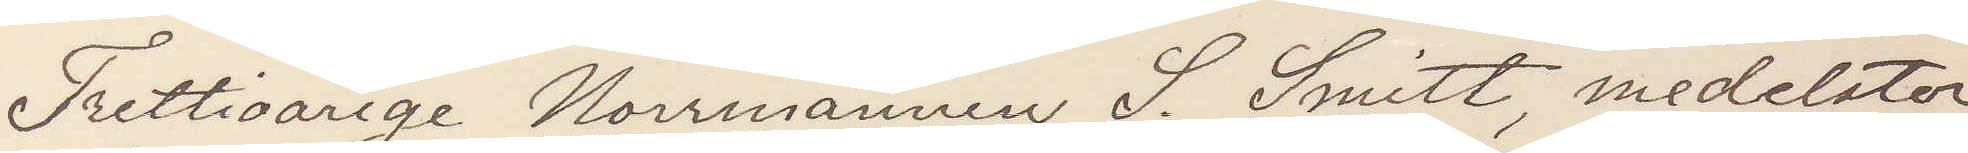Trettioårige Norrmannen S. Smitt, medelstor,
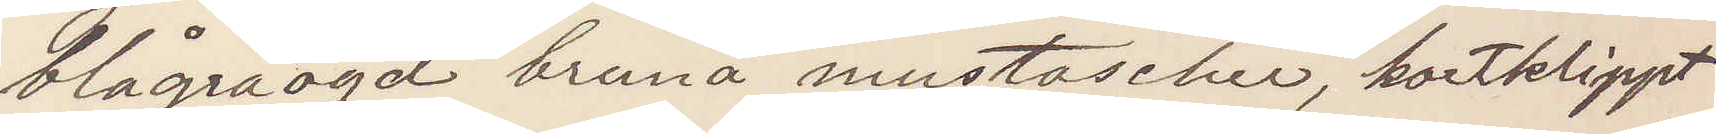blågråögd bruna mustascher, kortklippt
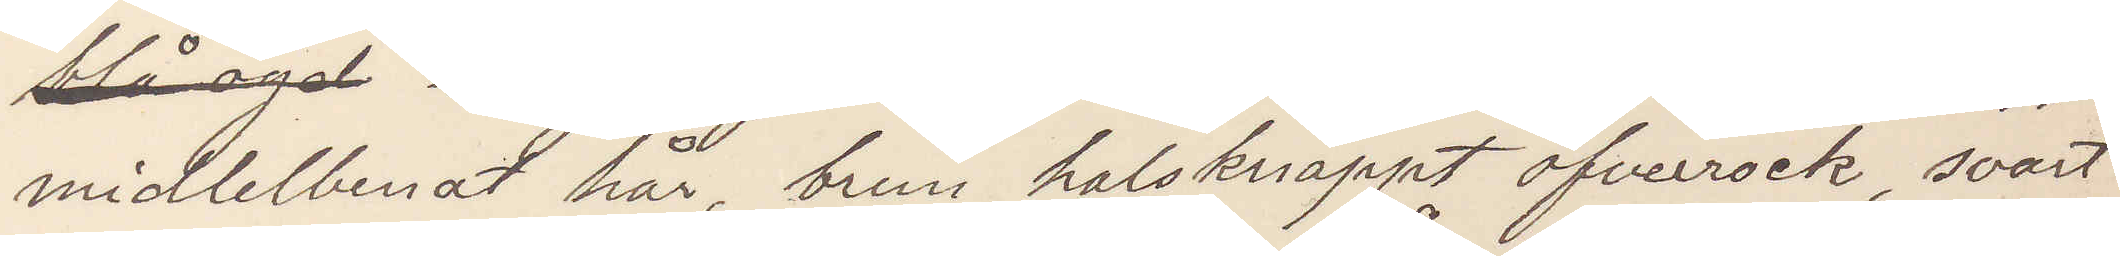midlebenat hår, brun halsknäppt öfverrock, svart
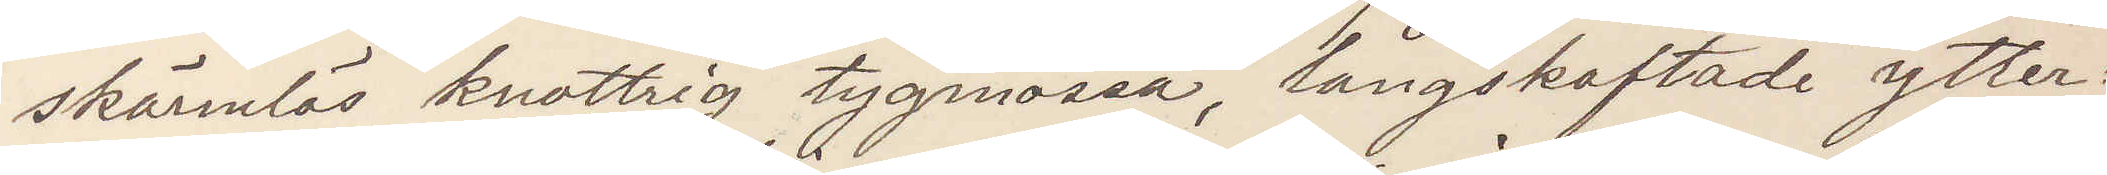skärmlös knottrig tygmössa, långskaftade ytter¬
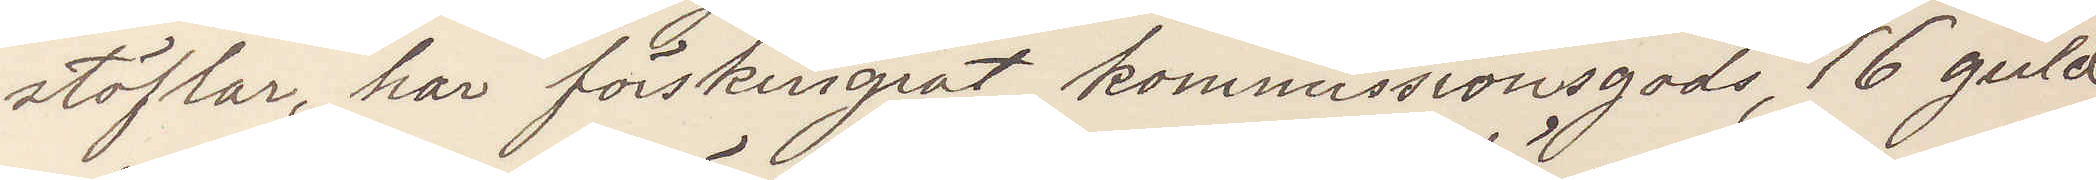stöflar, har förskingrat kommissionsgods, 16 guld¬
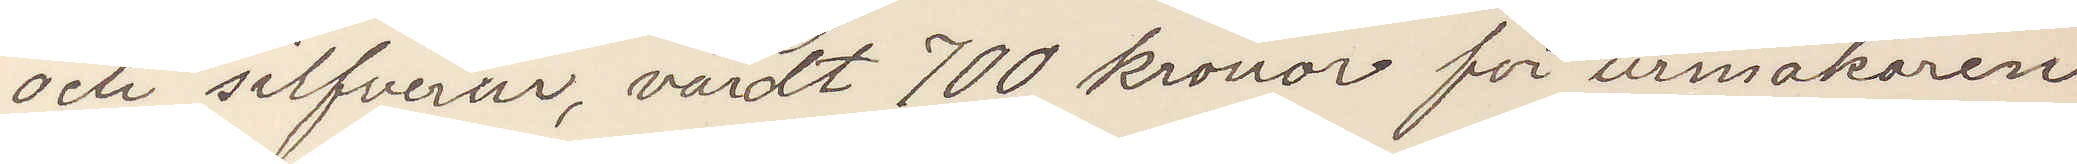och silfverur, värdt 700 kronor för urmakaren
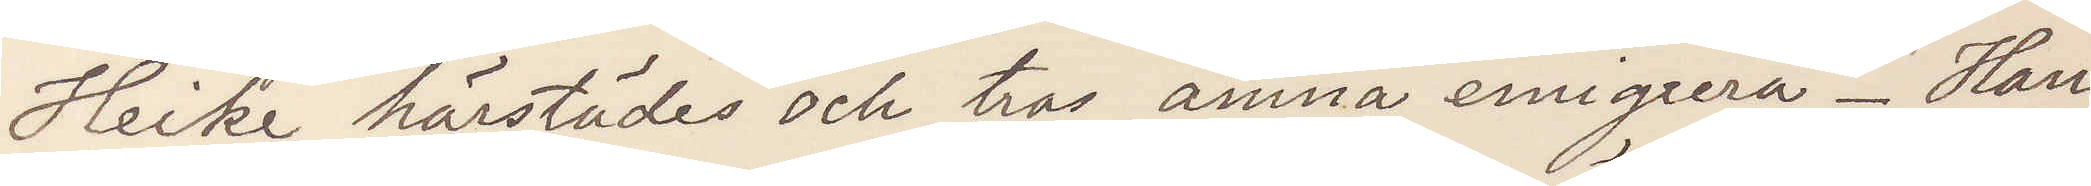Heike härstädes och tros ämna emigrera. Han
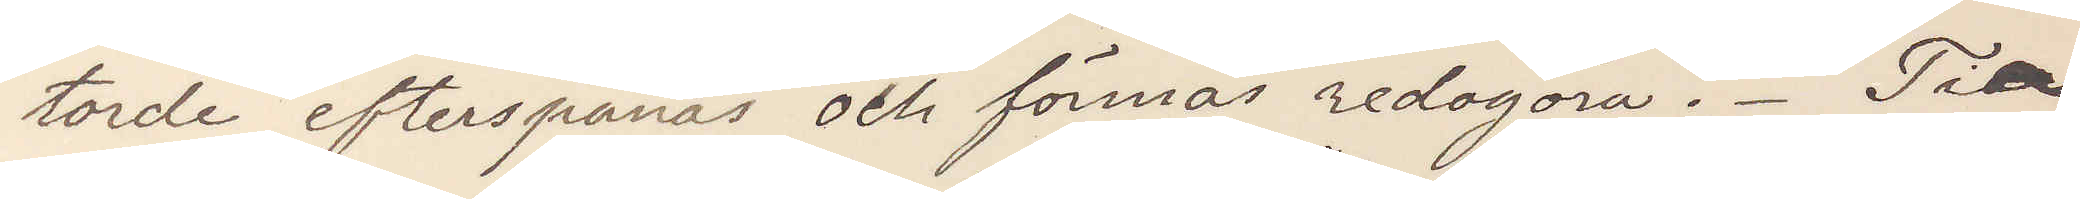torde efterspanas och förmås redogöra. Tio
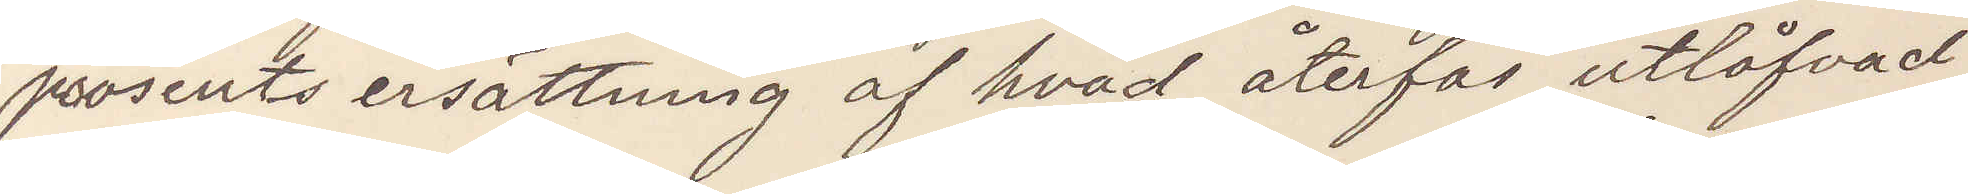prosents ersättning af hvad återfås utlåfvad.
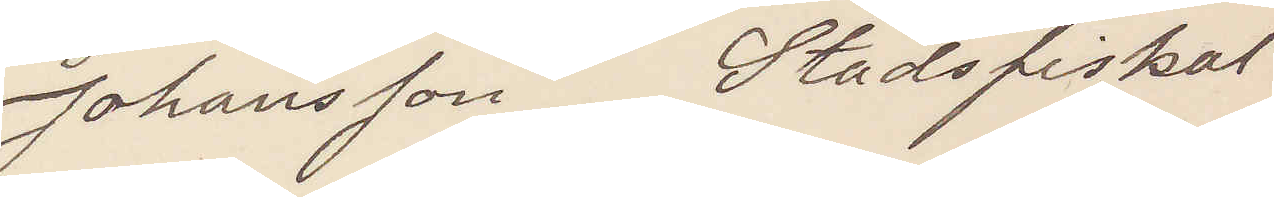Johansson Stadsfiskal
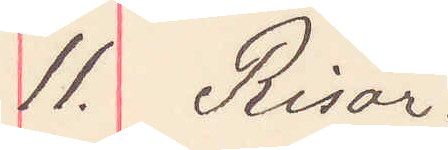11. Risör.
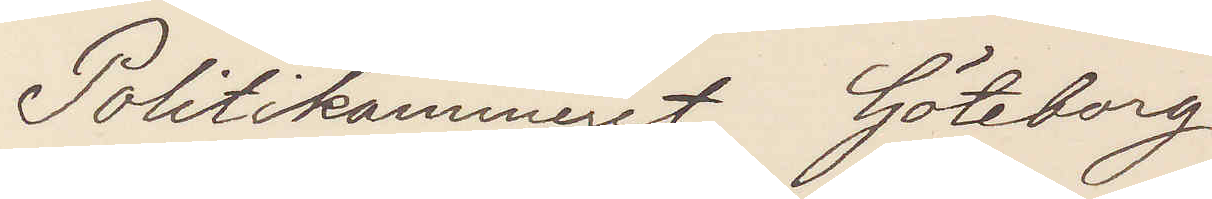Politikammeret Göteborg
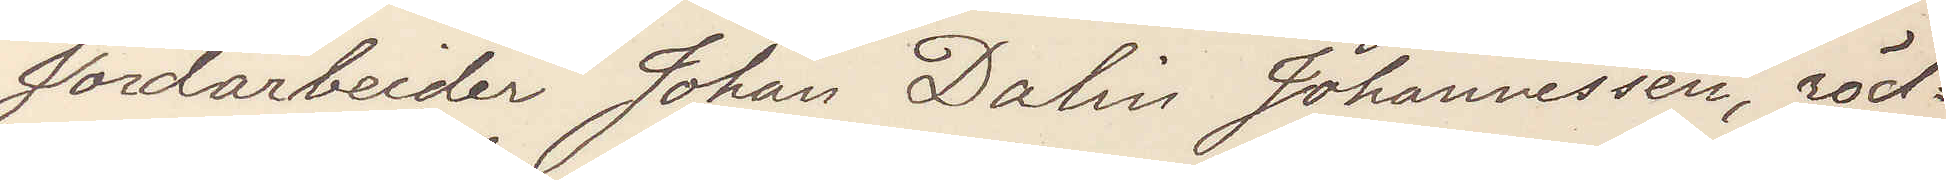Jordarbeider Johan Dalin Johannessen, röd¬
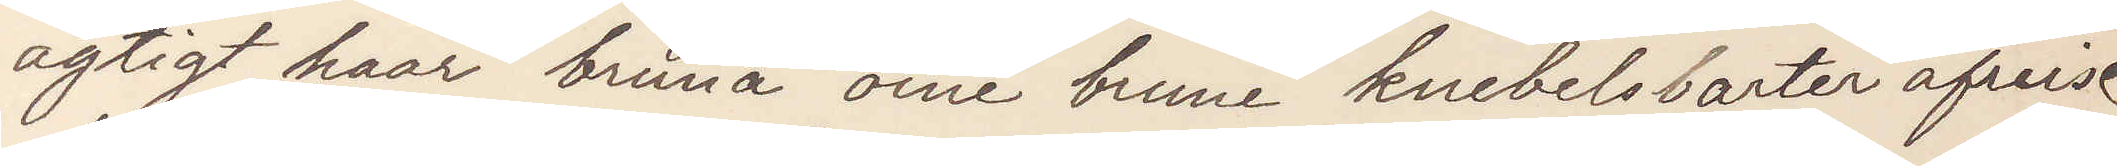agtigt haar bruna öine brune knebelsbarter afreise
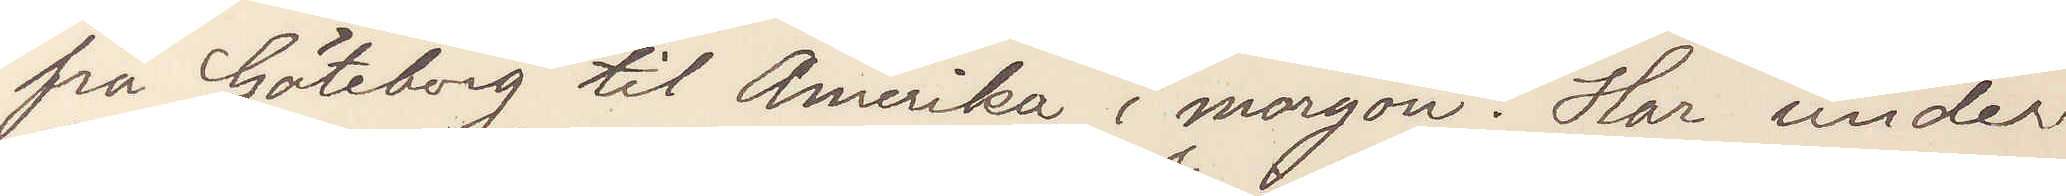fra Göteborg til Amerika i morgon. Har under
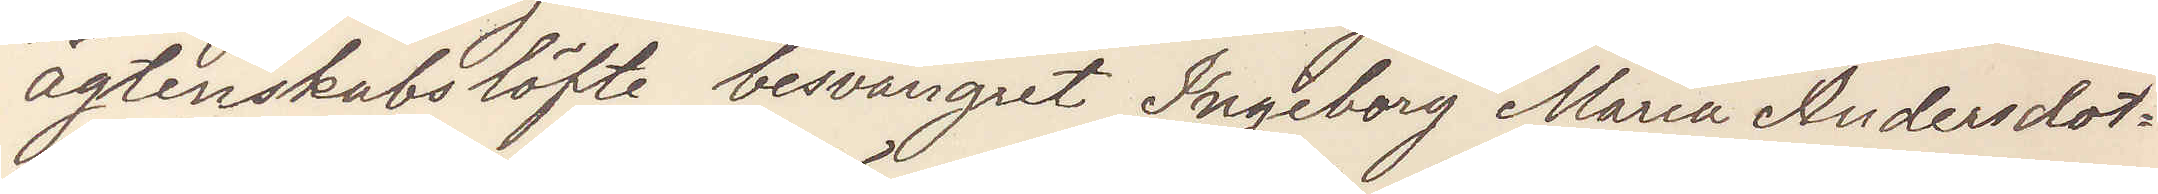ägtenskabslöfte besvangert Ingeborg Maria Andersdot¬
